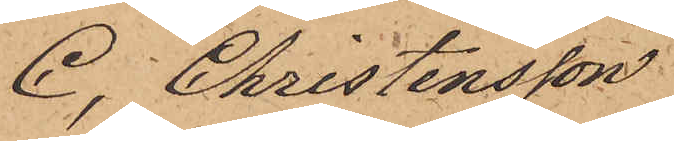C. Christensson
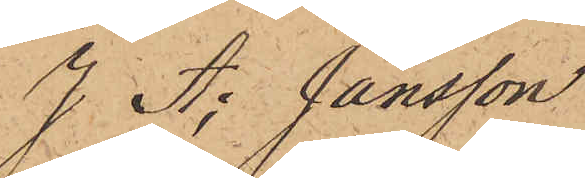J A; Jansson
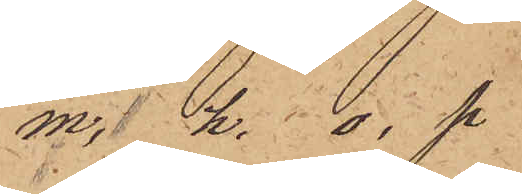m. h. o. p.
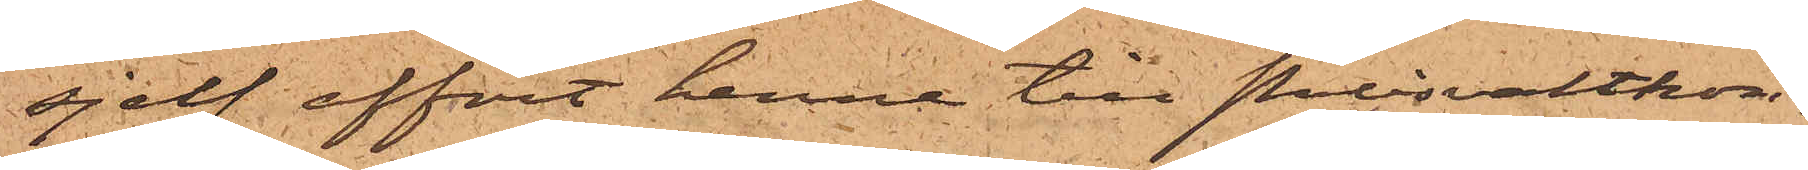sjelf affört henne till Polisvaktkon¬
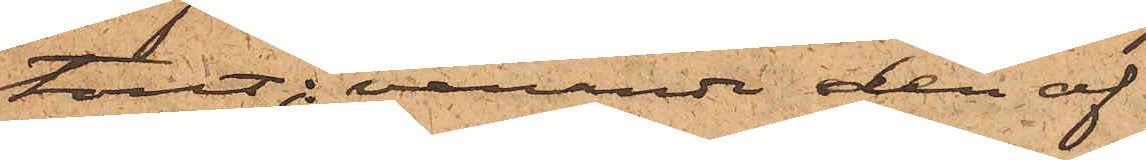toret; varande den af
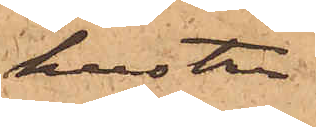hustru
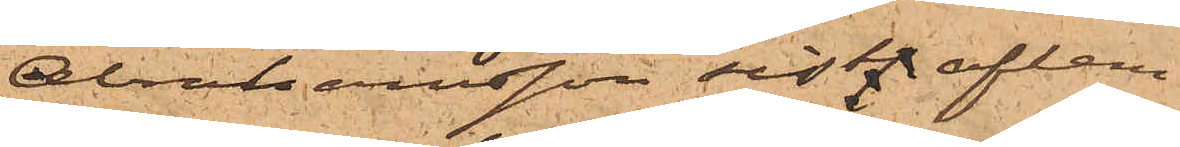Abramssonsson sistl. aflem¬
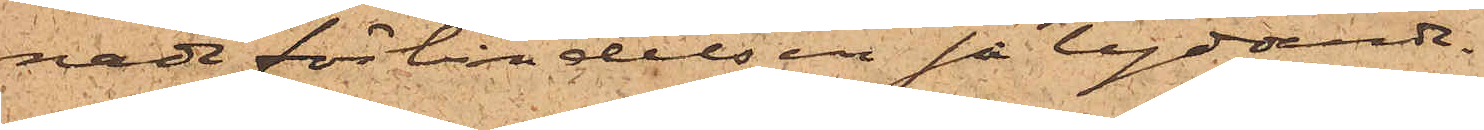nade förbindelsen så lydande
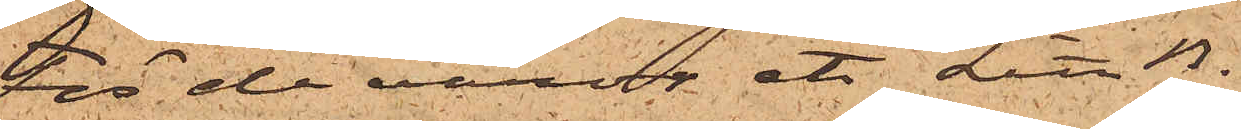"För de varor etc Litt B.
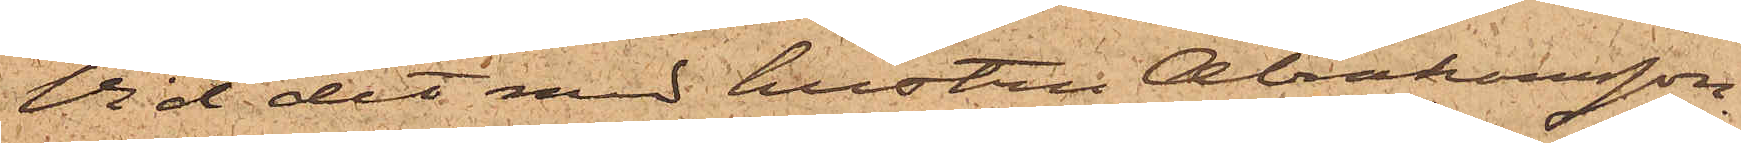Vid det med hustru Abrahamsson
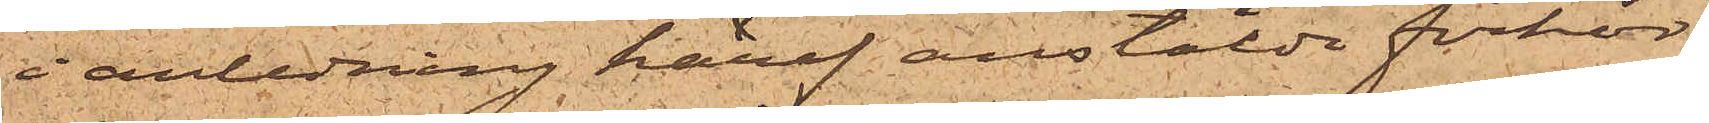i anledning häraf anstälda förhör,
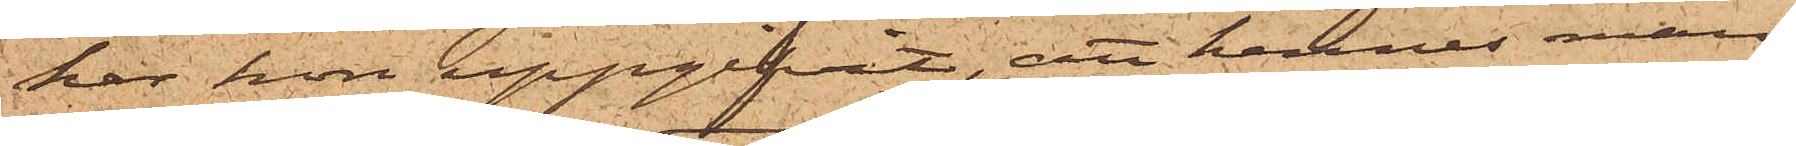har hon uppgifvit, att hennes man
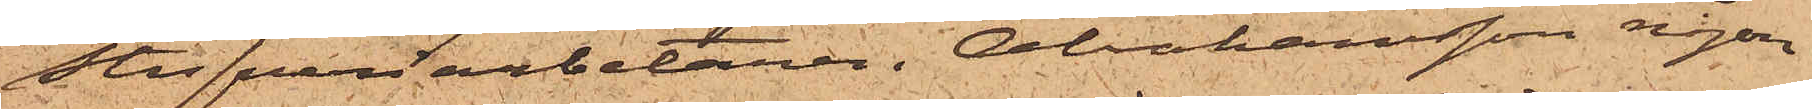Stufveriarbetaren i Abrahamsson någon
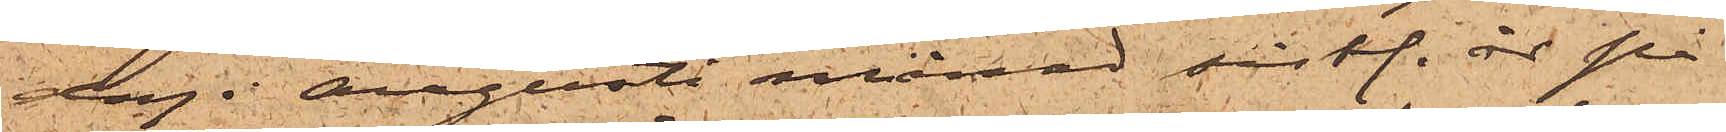dag i Augusti månad sistl. år på
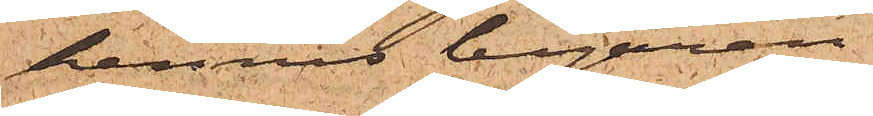hennes begäran
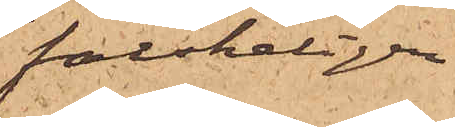falskeligen
